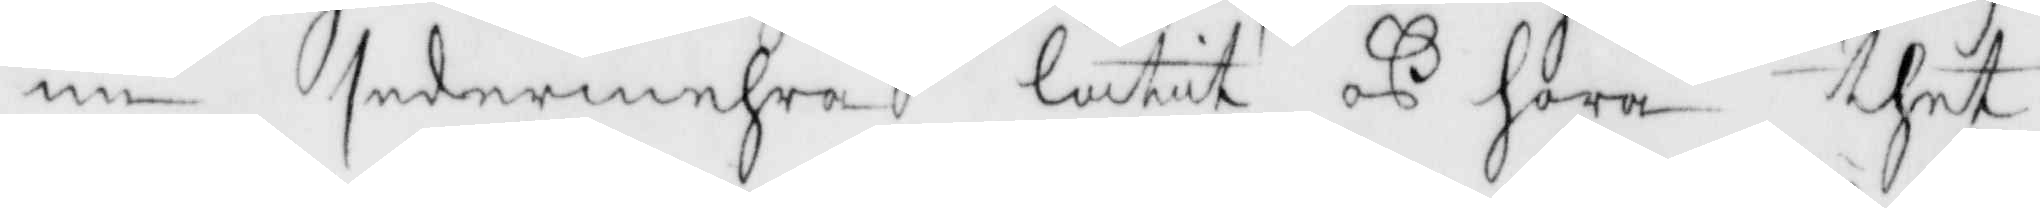nu sedermehra låtit oß höra thet
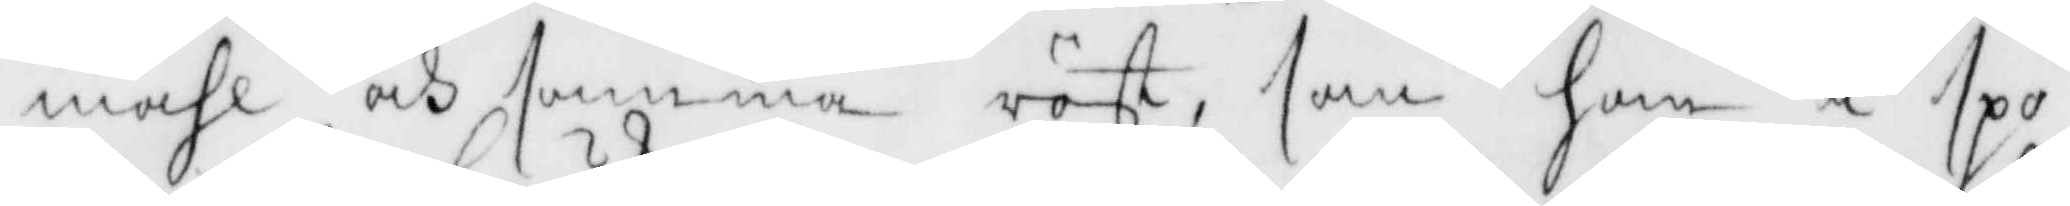måhl och samma röst, som han i spö¬
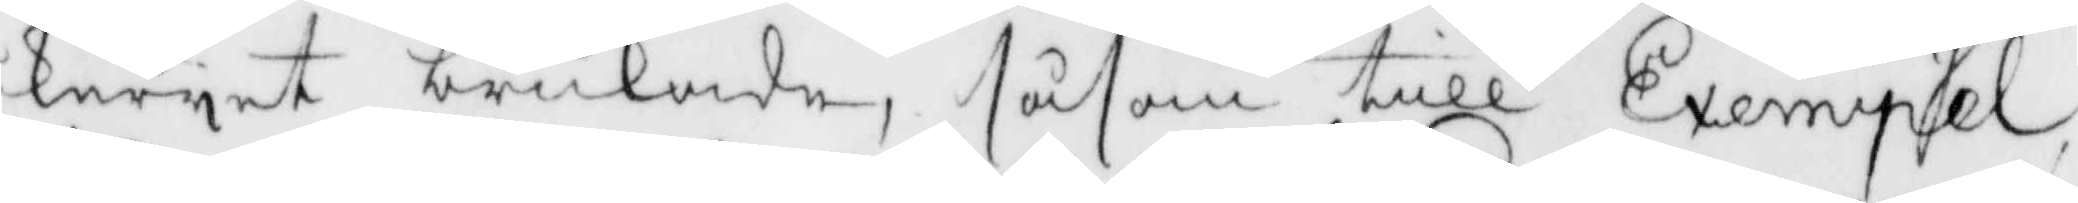keryet brukade, såsom till Exempel
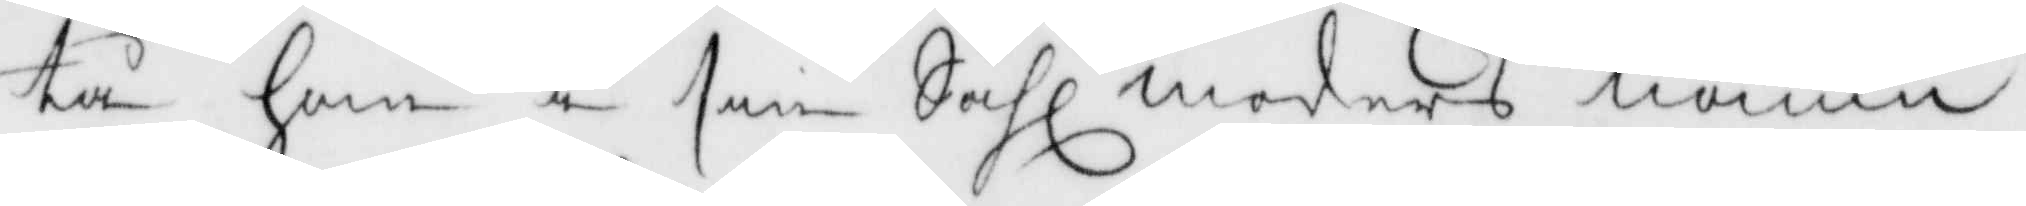tå han i sin Sahl moders namn
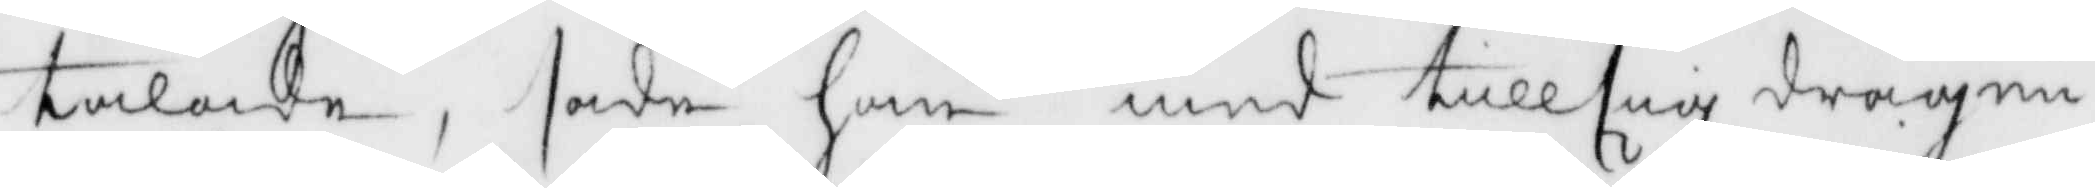talde, sade han med till sig dragen
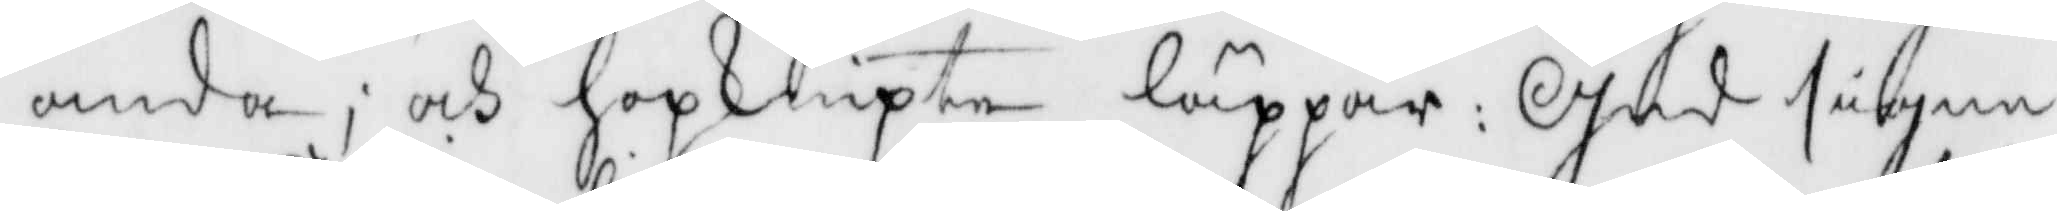anda, och hopknipte läppar: Gud signe
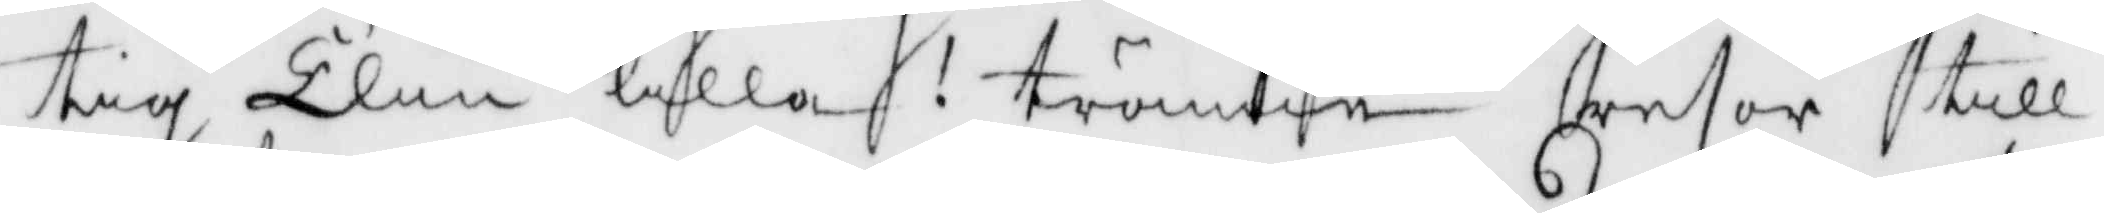tig Elin lilla! tränne resor till
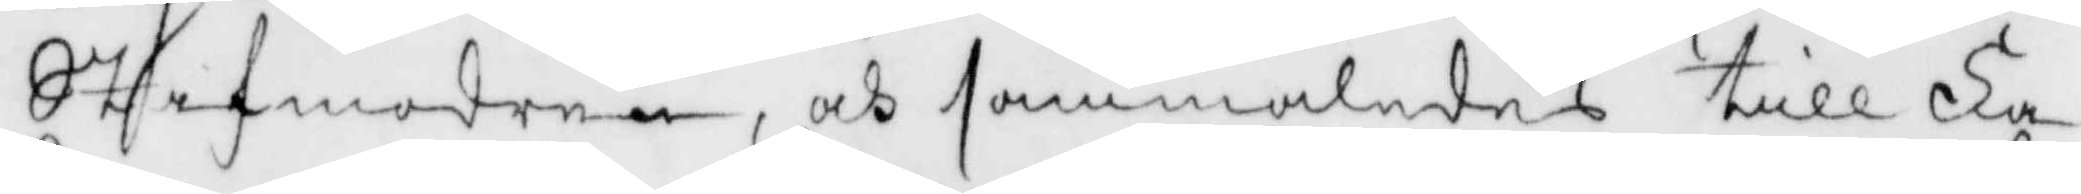Stafmodern, och sammaledes till Fa¬
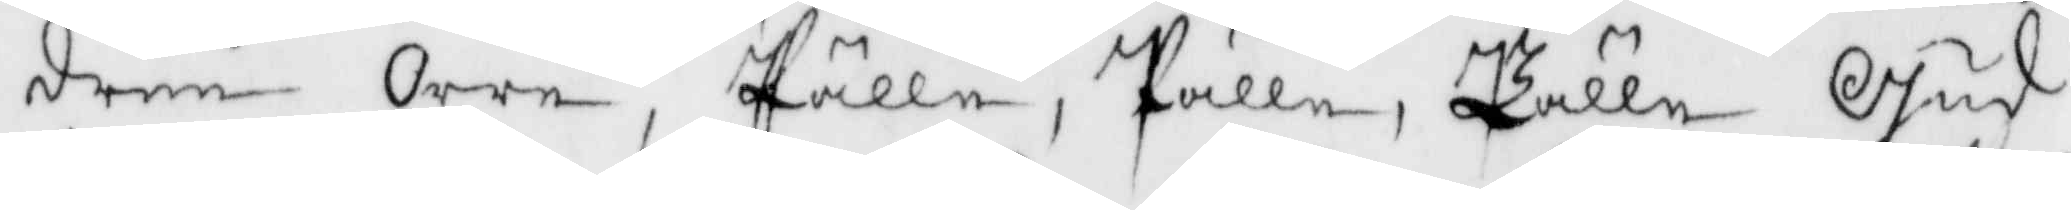dern Orre, Pälle, Pälle, Pälle Gud
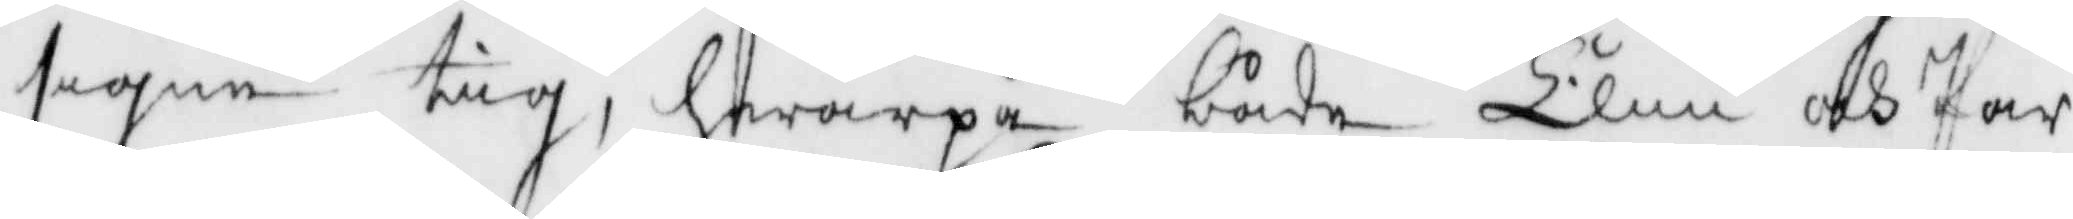segen tig, hwarpå både Elin och Pär
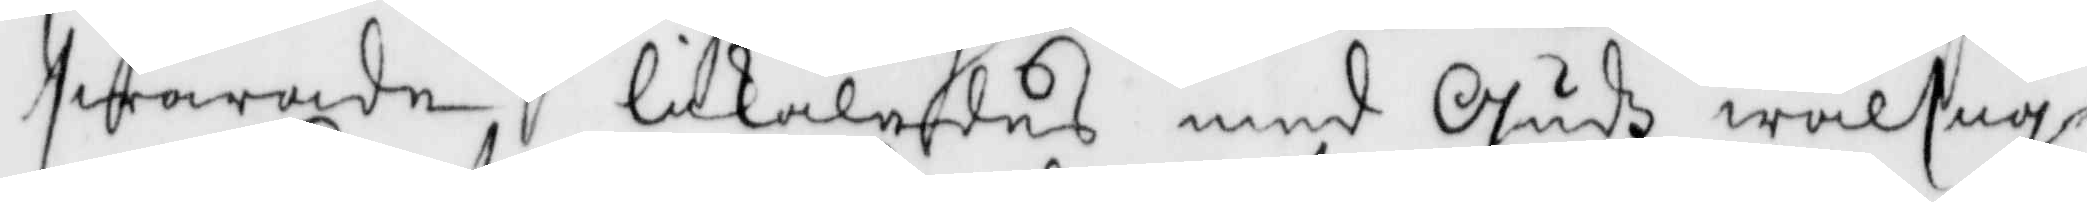swarade likaledes med Gudz wälsig¬
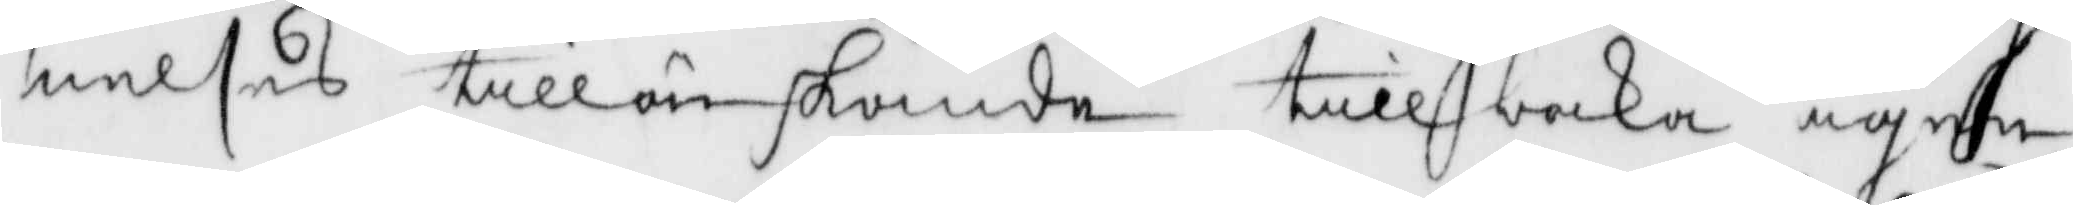nelses tillönskande tillbaka igen,
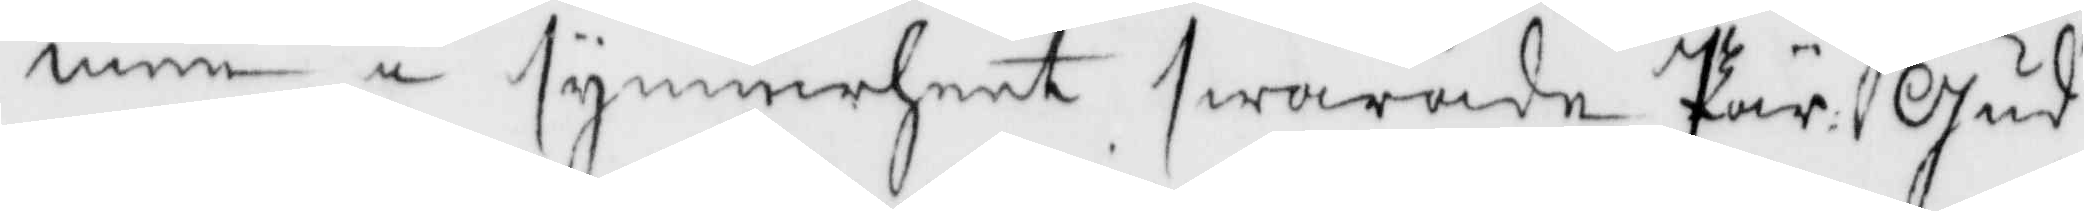men i synnerheet swarade Pär Gus
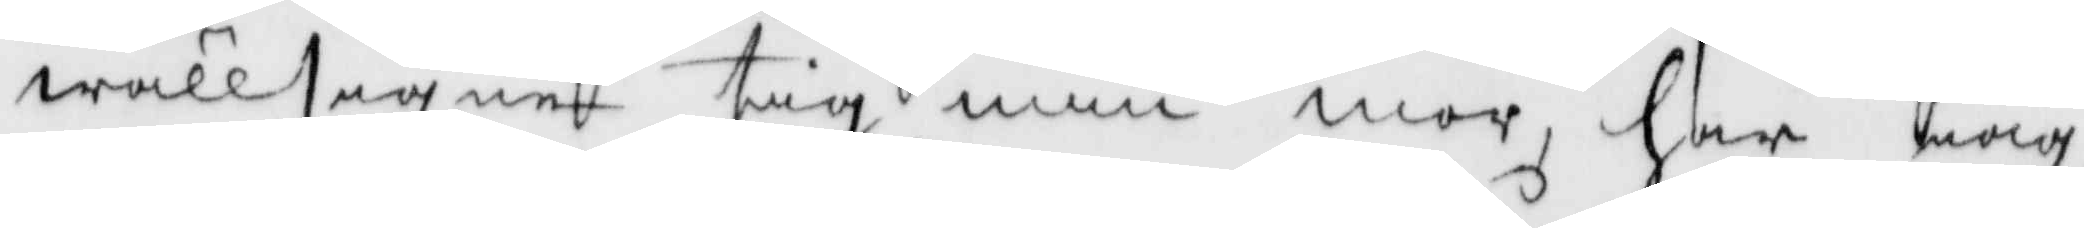wällsigne tig min mor, har iag
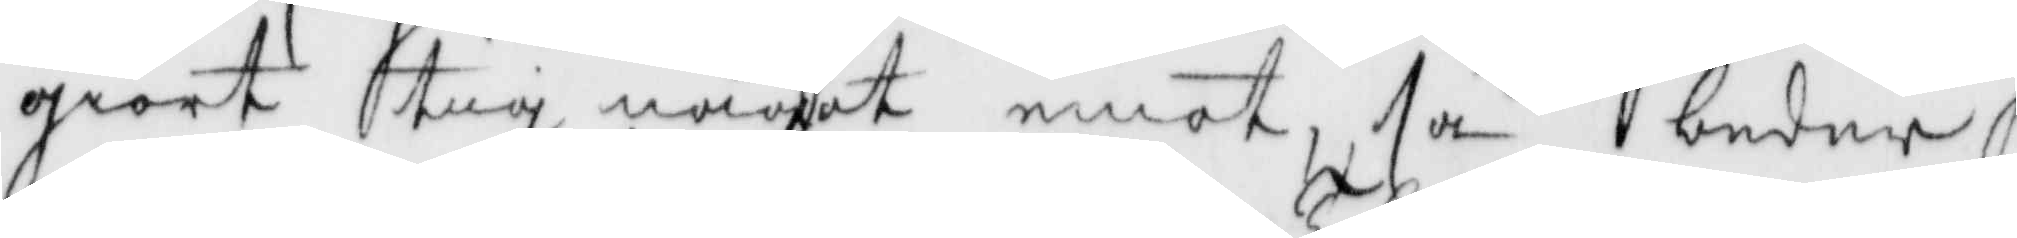giort tig något emot, tå beder
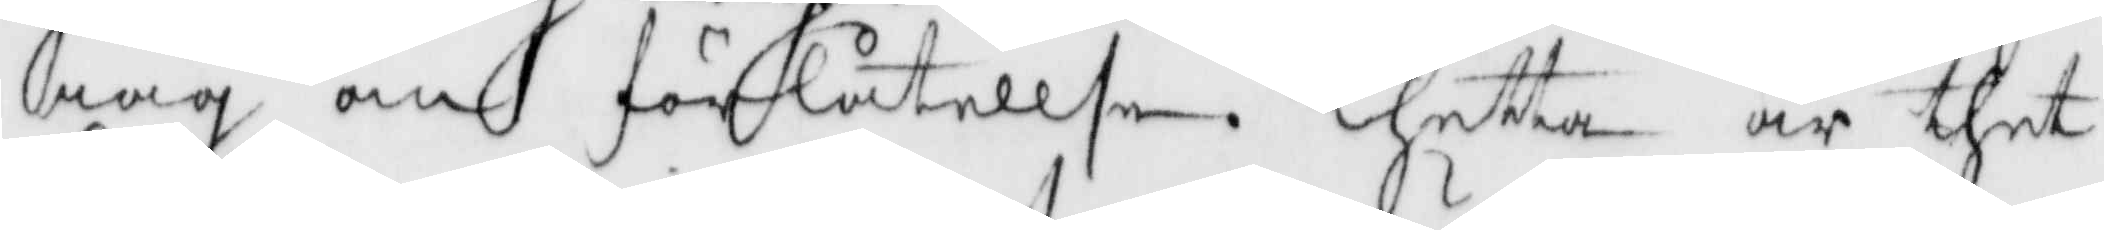iag om förlåtellse. Thetta är thet
